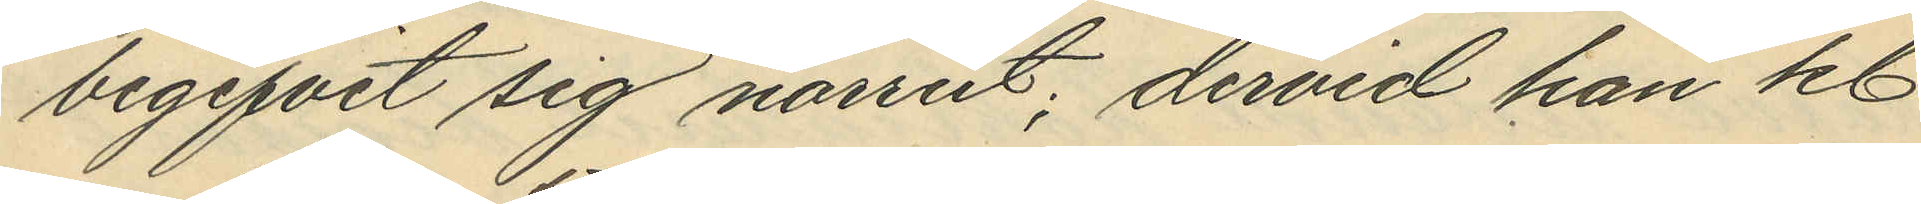begifvet sig norrut; dervid han kl.
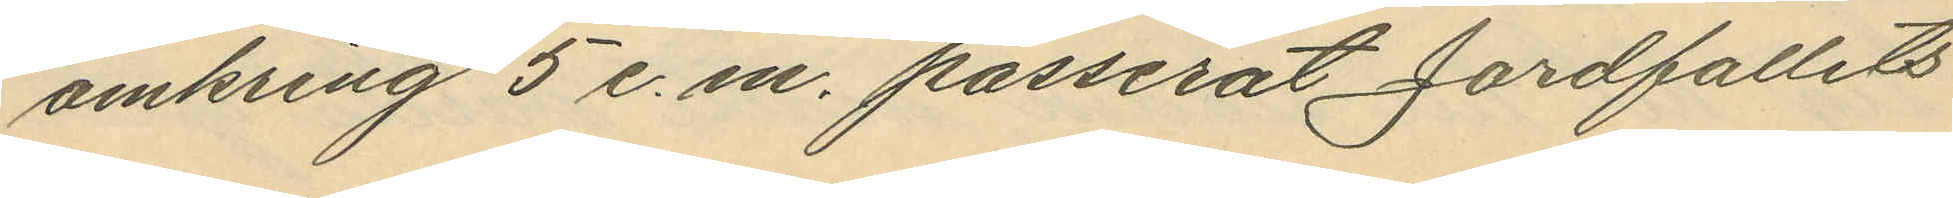omkring 5 e. m. passerat Jordfallets
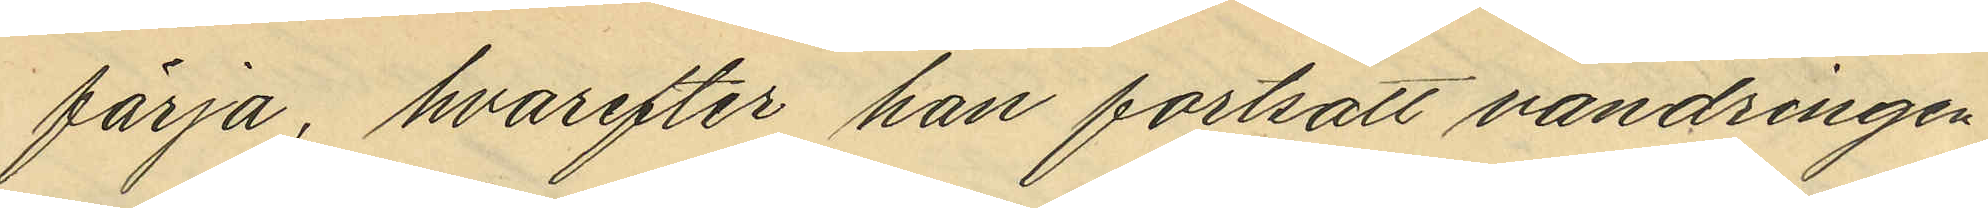färja, hvarefter han fortsatt vandringen
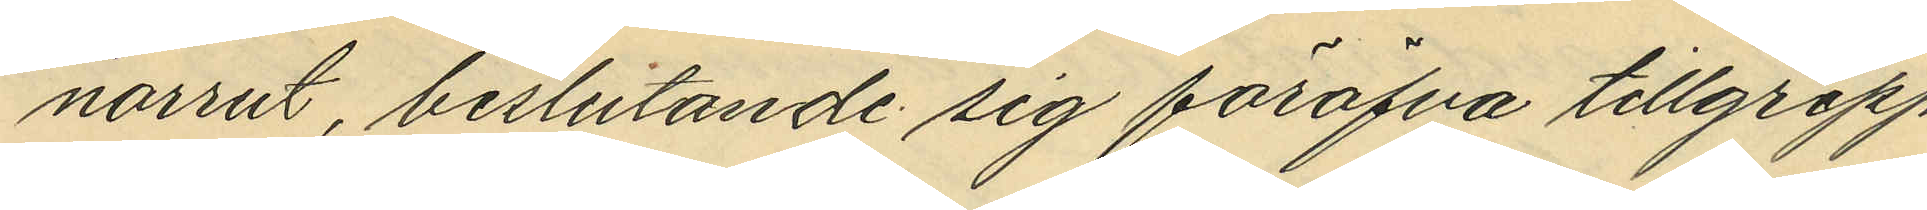norrut, beslutande sig föröfva tillgrepp
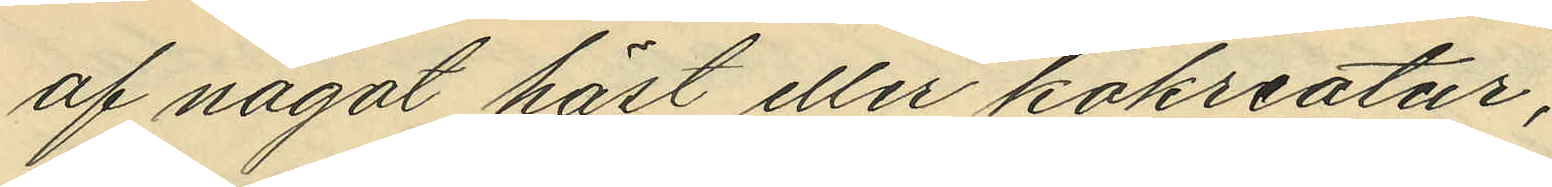af något häst eller kokreatur
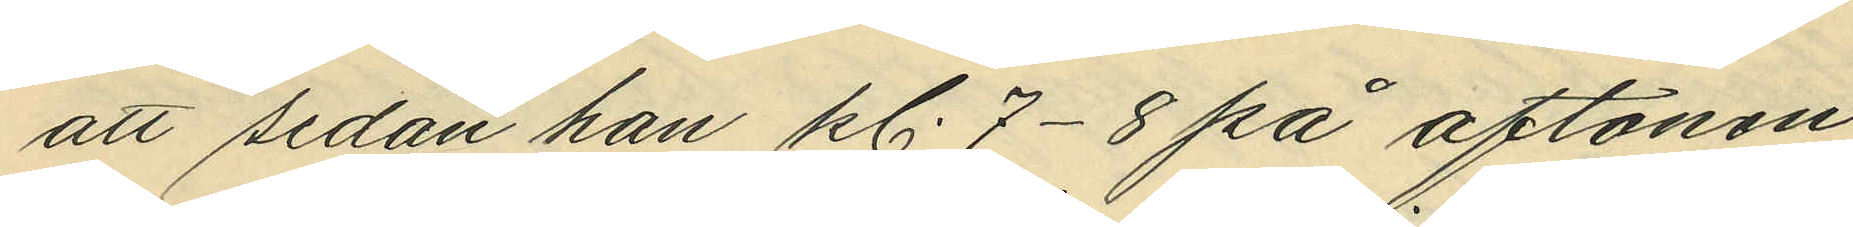att sedan han kl. 7- 8 på aftonen
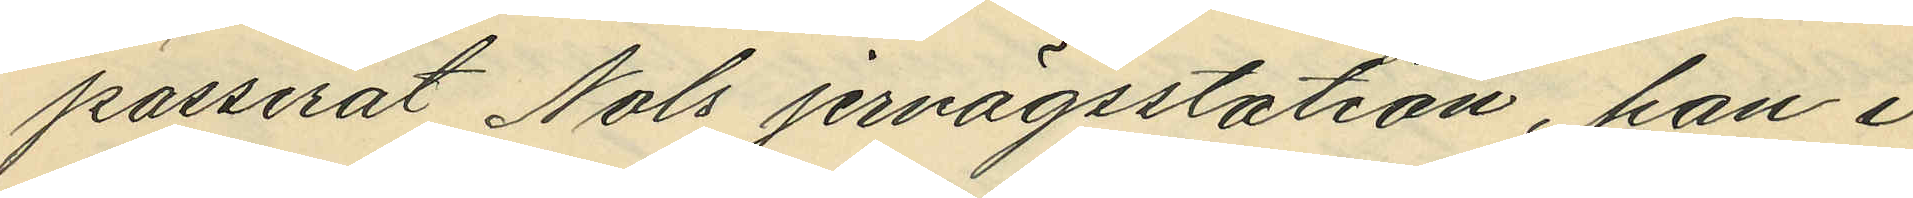passerat Nols jernvägsstation, han i
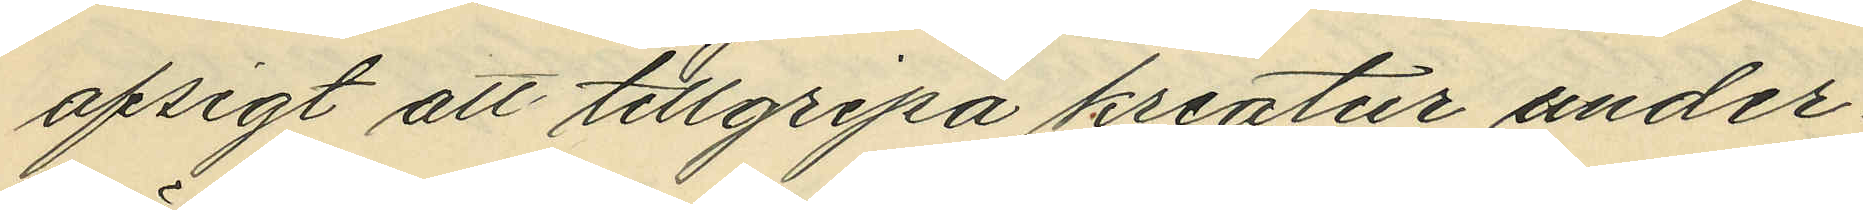afsigt att tillgripa kreatur under¬
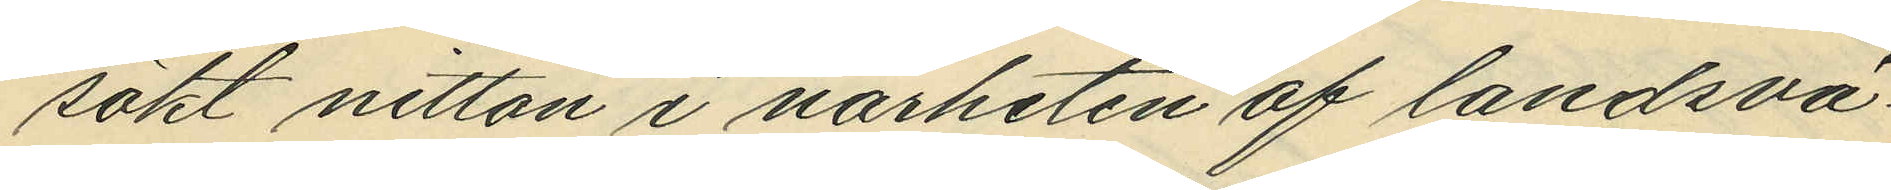sökt nitton i närheten af landsvä¬
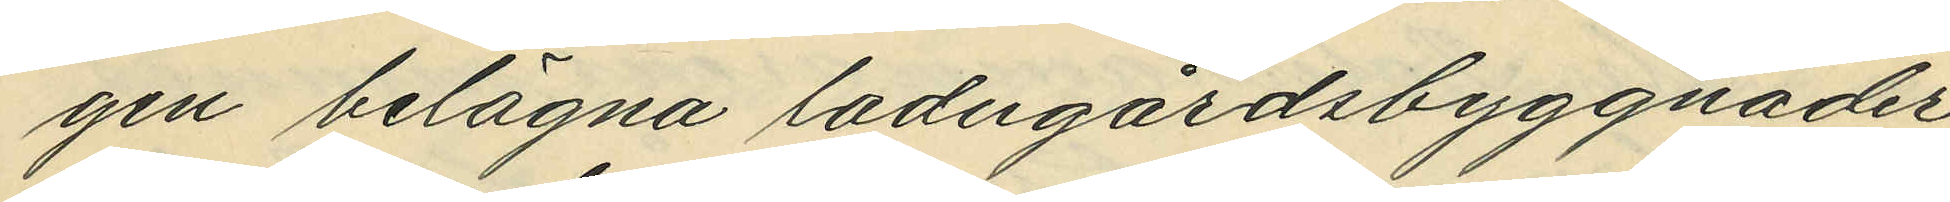gen belägna ladugårdsbyggnader
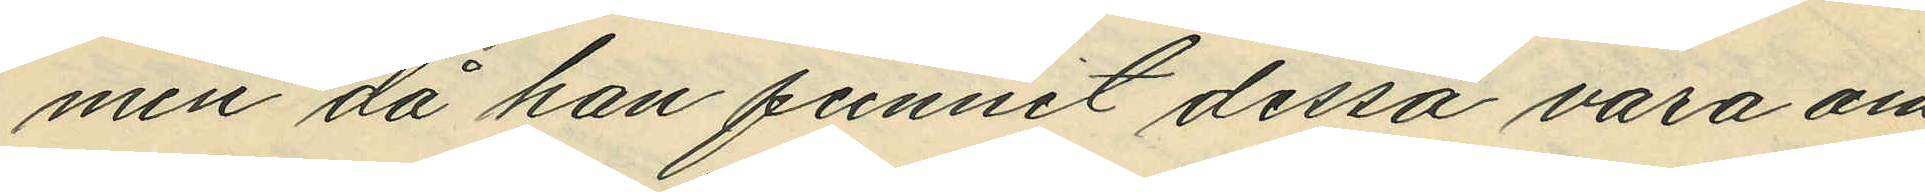men då han funnit dessa vara om¬
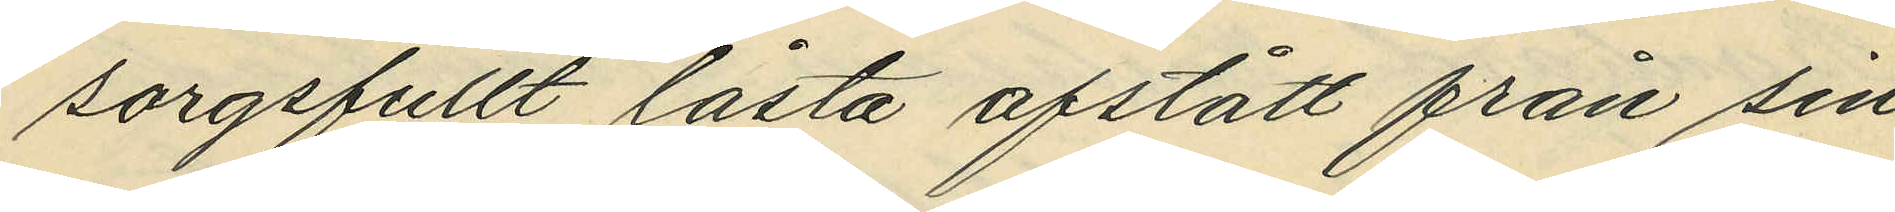sorgsfullt låsta afstått från sin
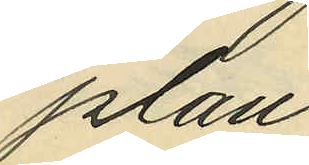plan;
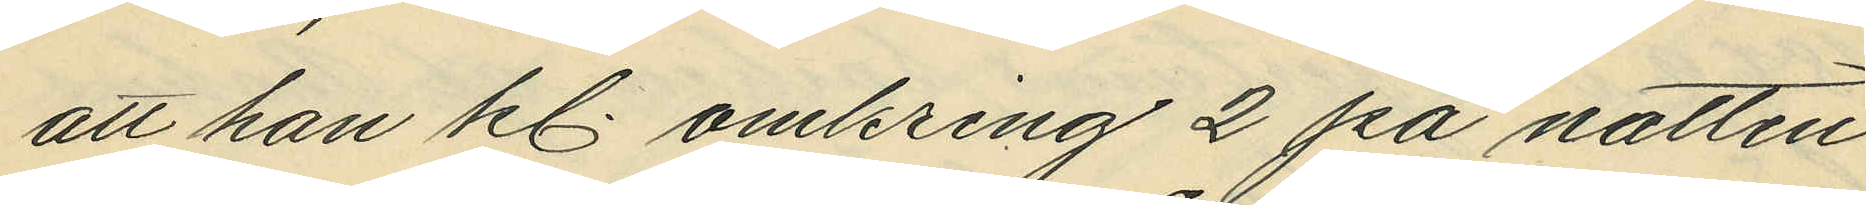att han kl omkring 2 på natten
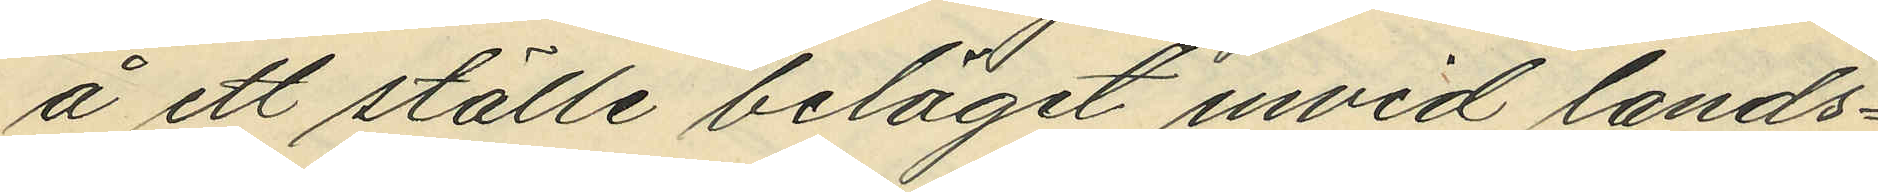å ett ställe beläget invid lands¬
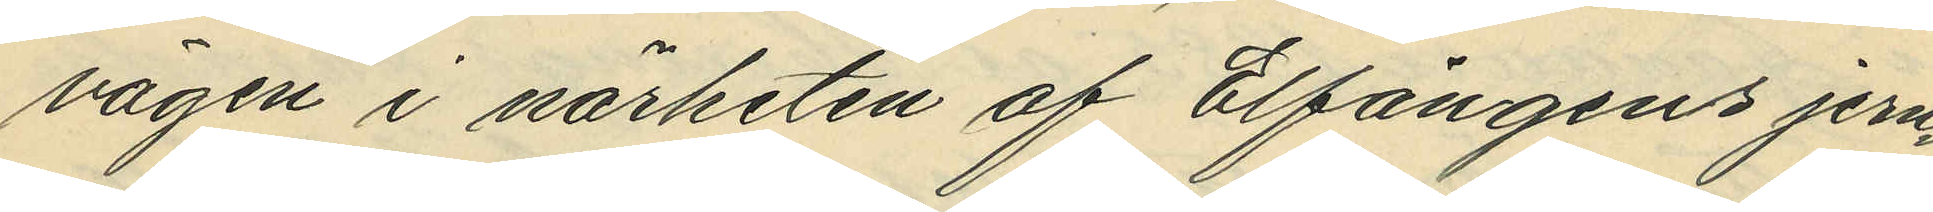vägen i närheten af Elfängens jern¬
